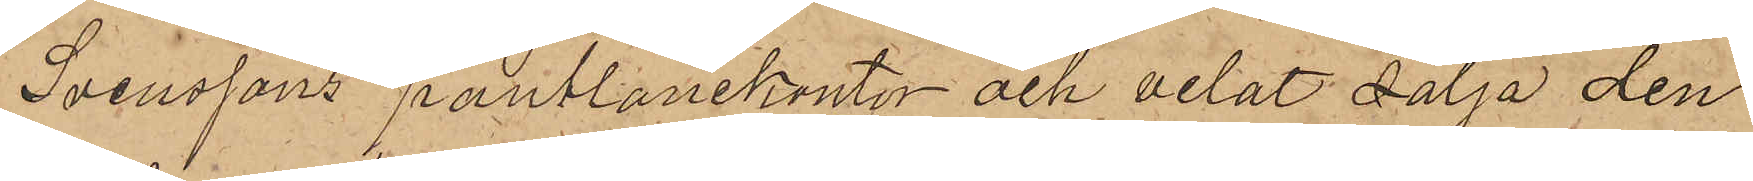Svenssons pantlånekontor och velat sälja den
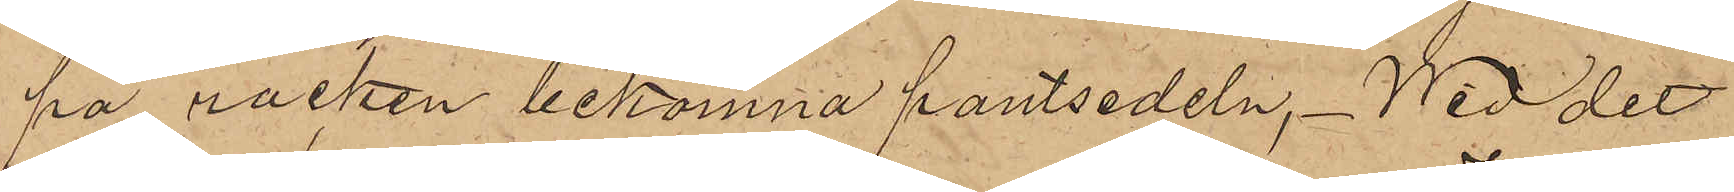på rocken bekomna pantsedeln. Wid det
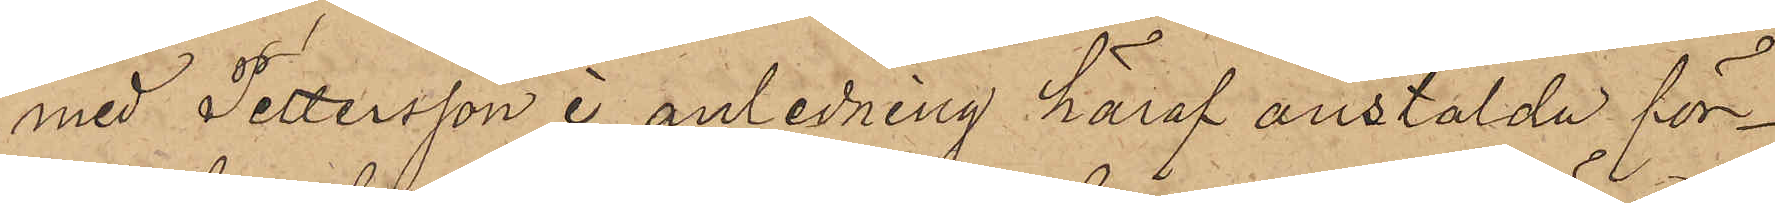med Pettersson i anledning häraf anstälda för¬
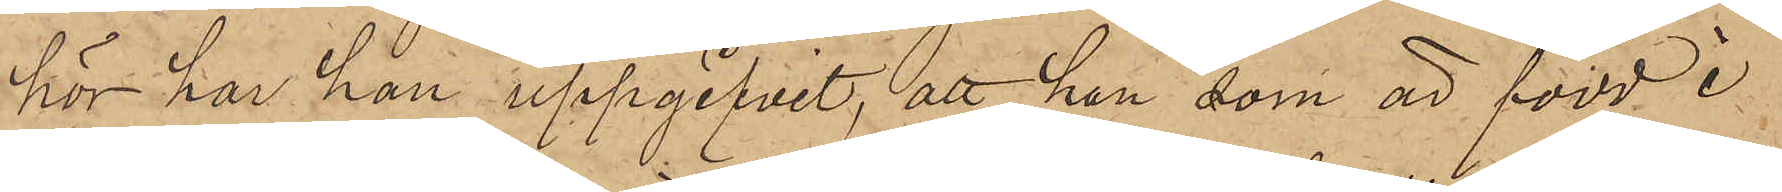hör har han uppgifvit, att han, som är född i
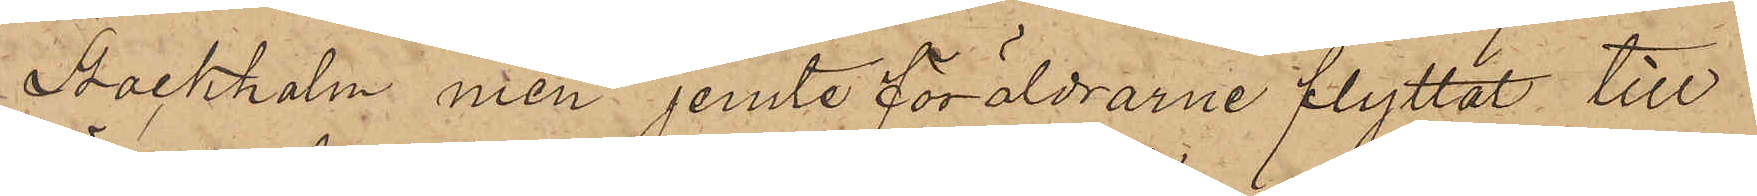Stockholm men jemte föräldrarne flyttat till
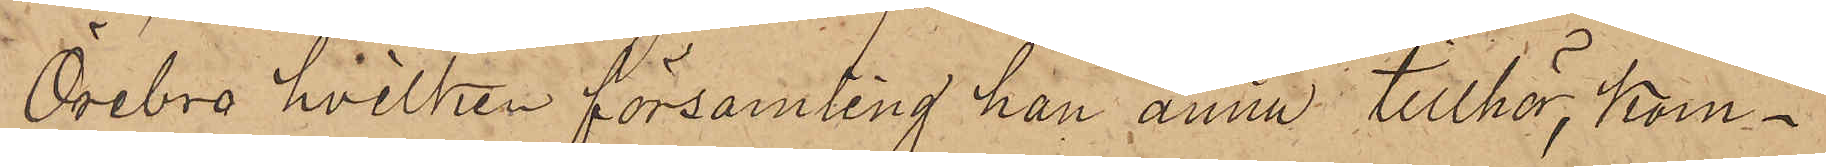Örebro hvilken församling han ännu tillhör, kom¬
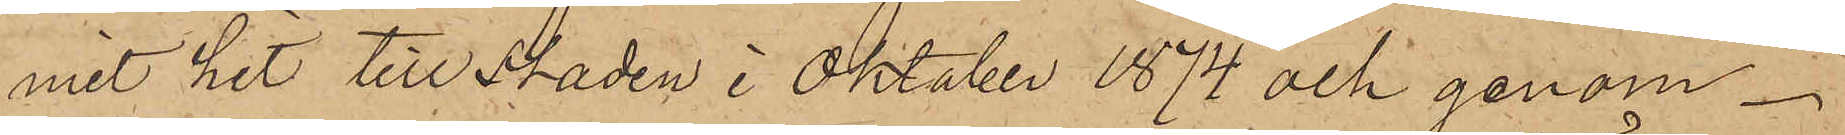mit hit till staden i Oktober 1874 och genom
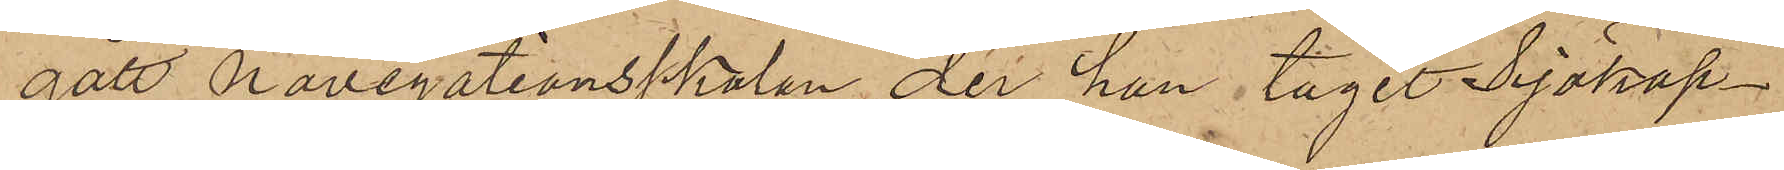gått Navigationsskolan, der han tagit Sjökap¬
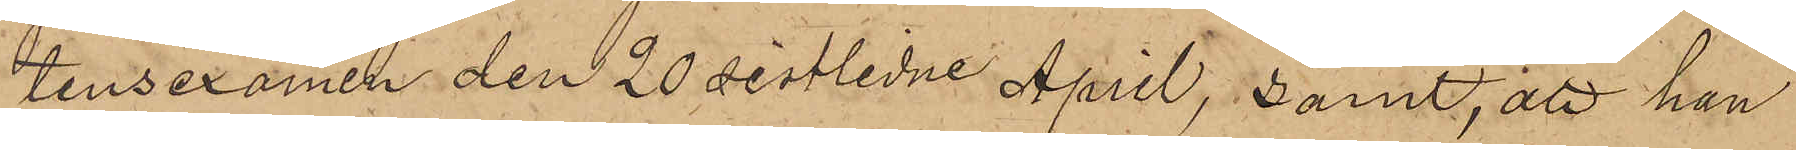tensexamen den 20 sistlidne April, samt att han
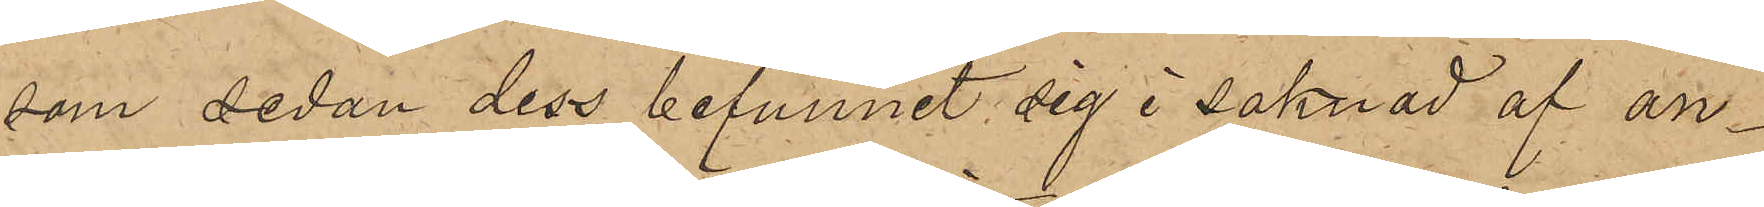som sedan dess befunnit sig i saknad af an¬
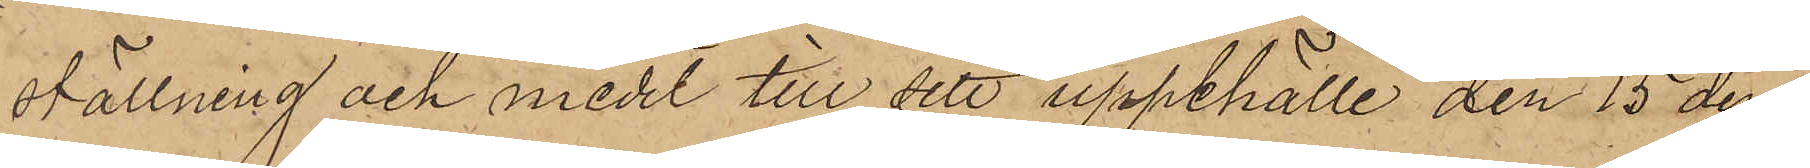ställning och medel till sitt uppehälle den 15 den¬
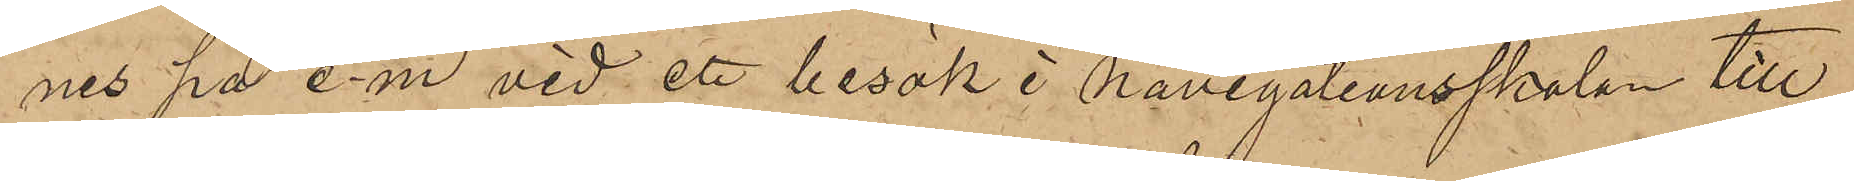nes på e.m. vid ett besök i Navigationsskolan till¬
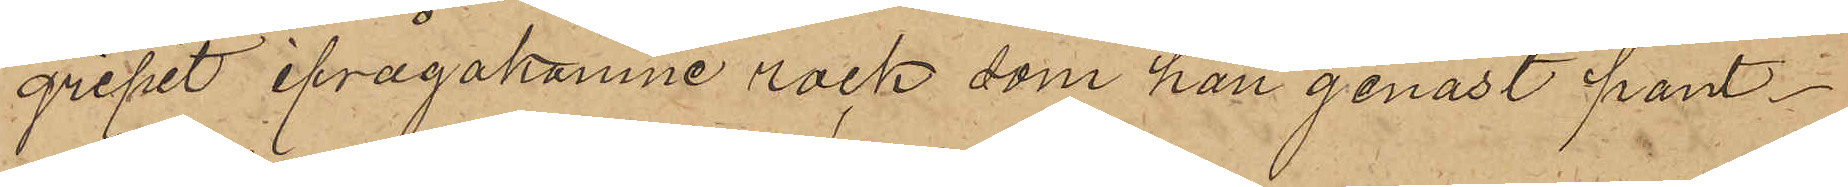gripit ifrågakomne rock, som han genast pant¬
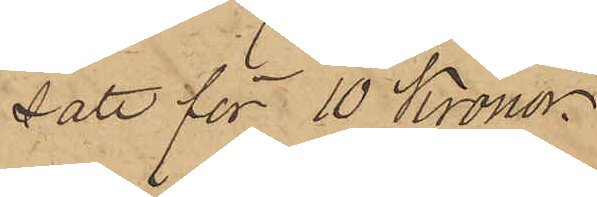satt för 10 Kronor
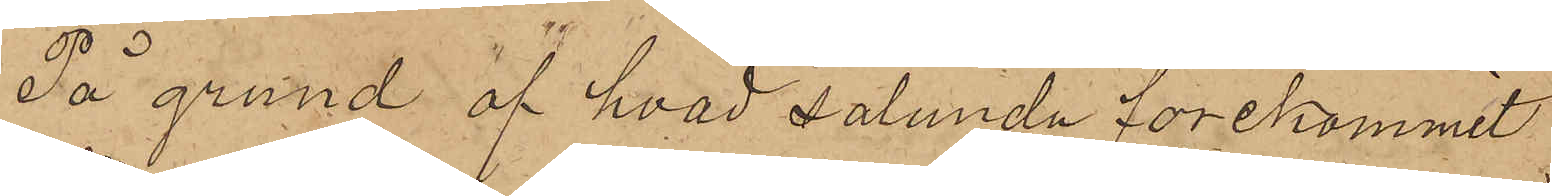På grund af hvad sålunda förekommit
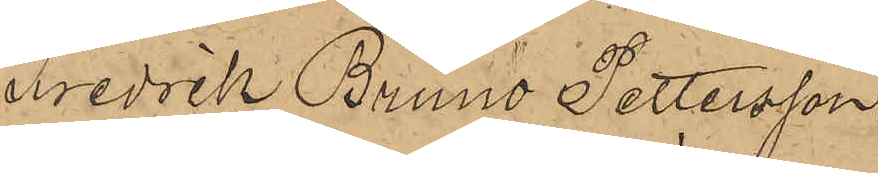Fredrik Bruno Pettersson
